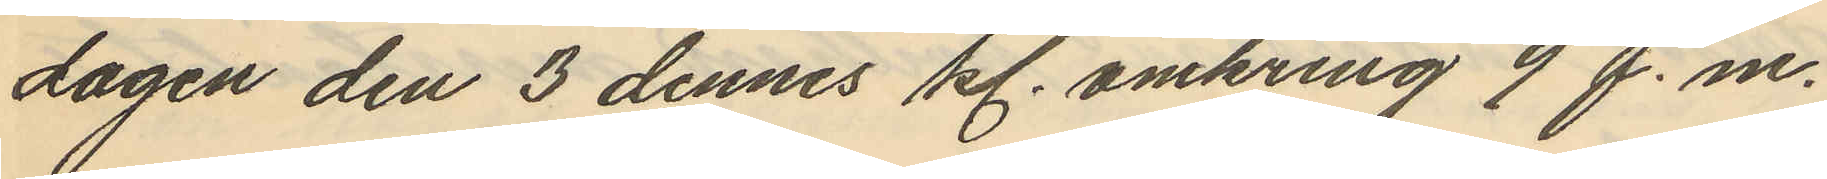dagen den 3 dennes kl. omkring 9 f.m.
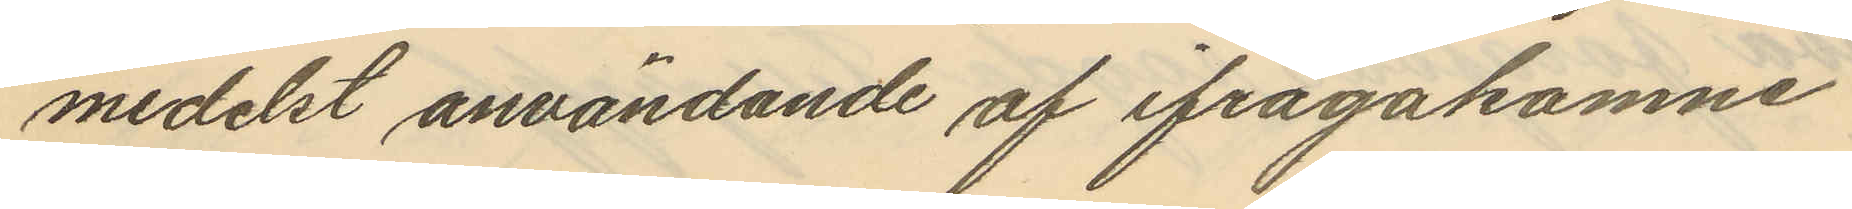medelst användande af ifrågakomne
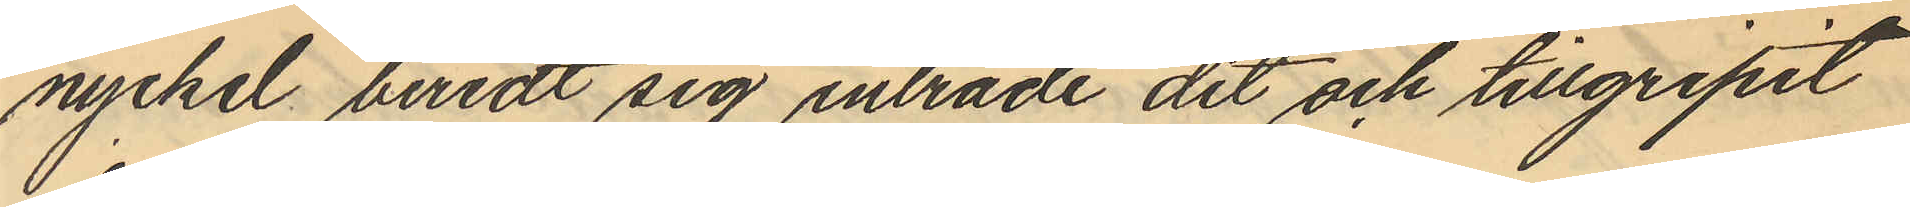nyckel beredt sig inträde dit och tillgripit
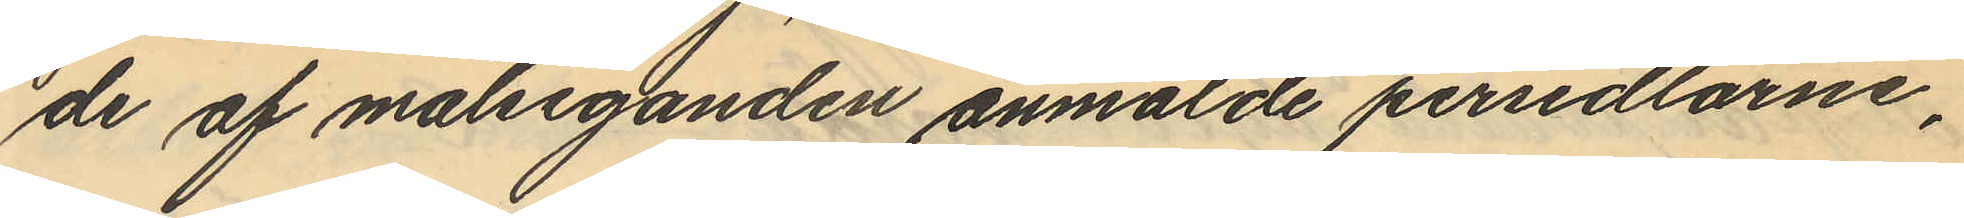de af målseganden anmälde persedlarne,
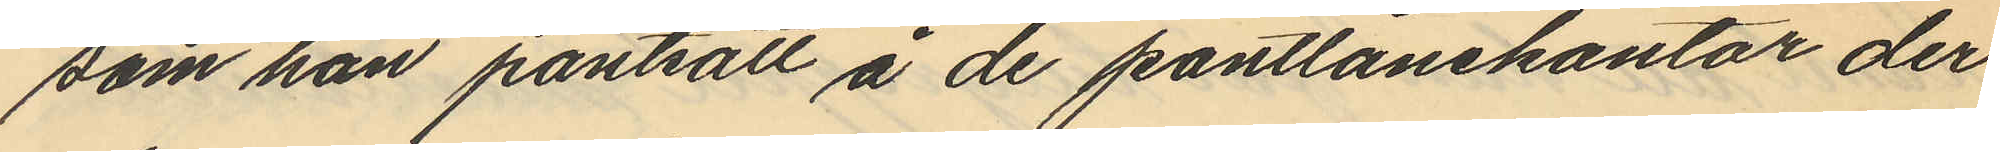som han pantsatt å de pantlånekontor der
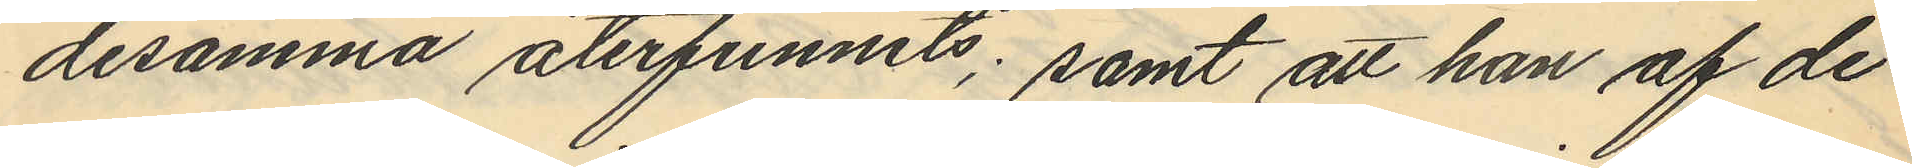desamma återfunnits; samt att han af de
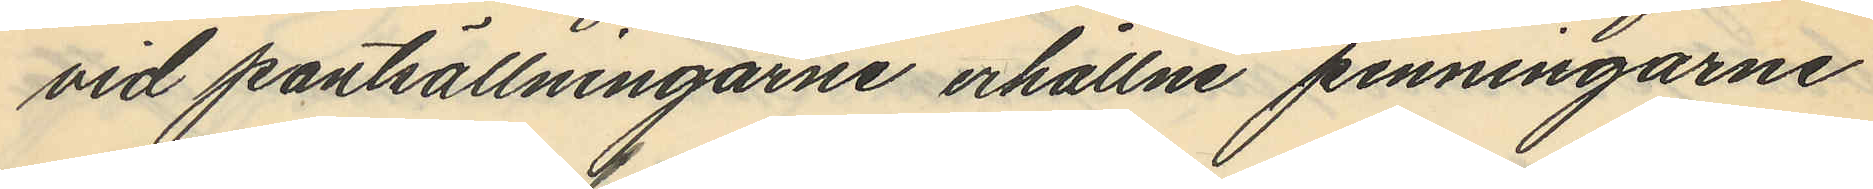vid pantsällningarne erhållne penningarne
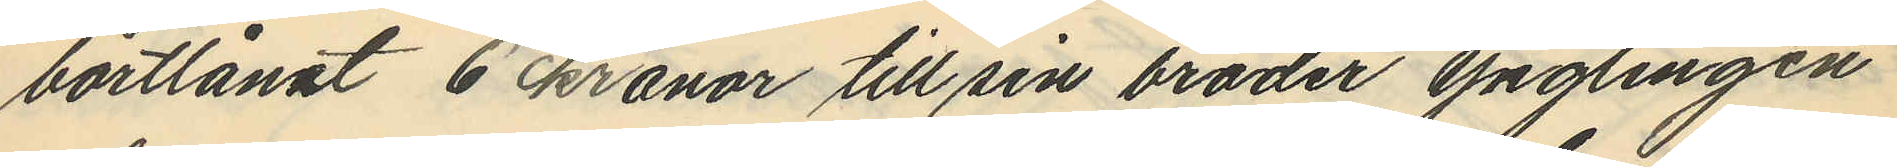bortlånat 6 kronor till sin broder ynglingen
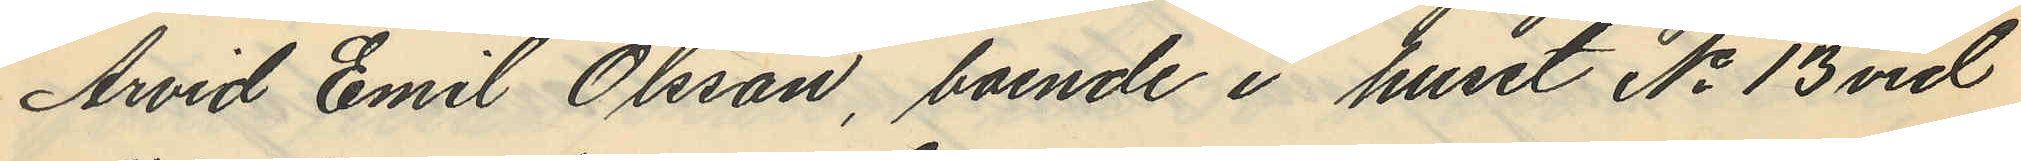Arvid Emil Olsson, boende i huset No 13 vid
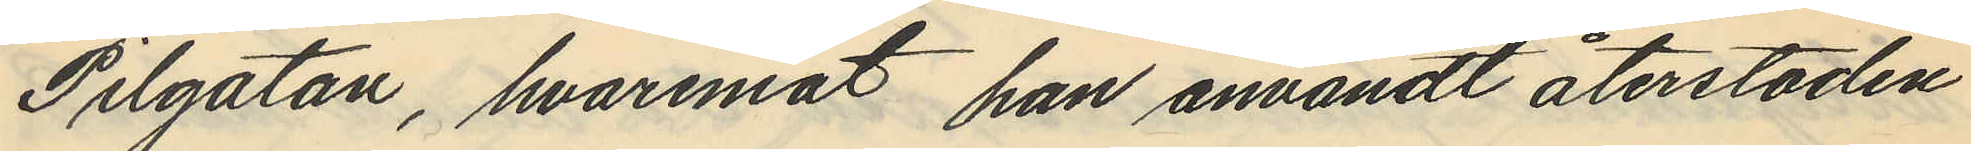Pilgatan, hvaremot han användt återstoden
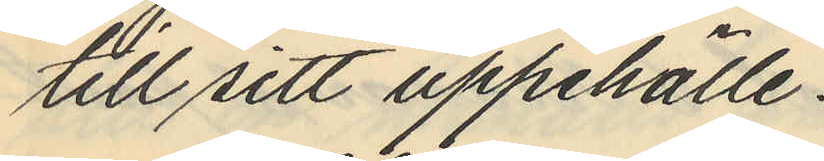till sitt uppehälle.
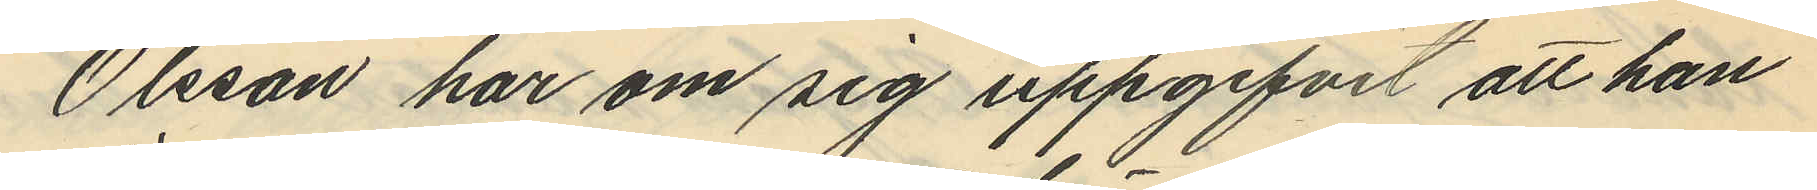Olsson har om sig uppgifvit att han
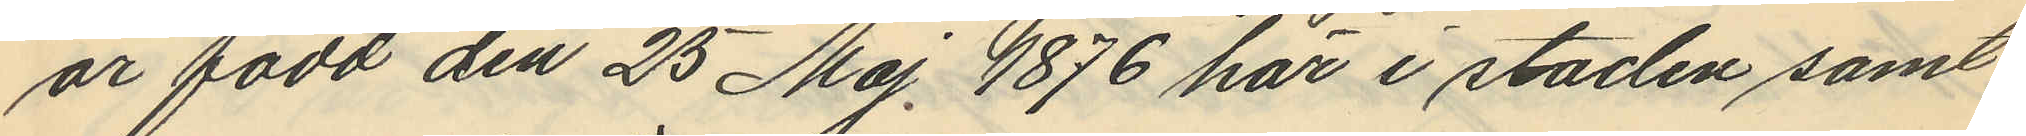är född den 25 Maj 1876 här i staden samt
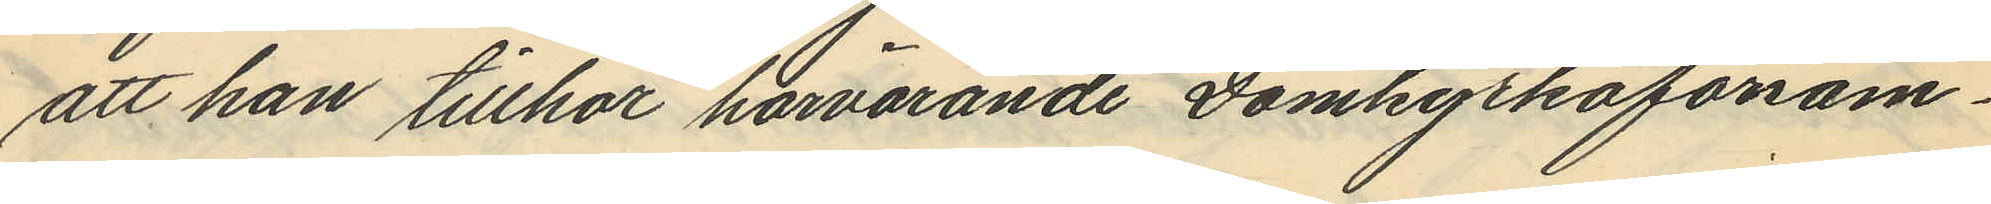att han tillhör härvarande Domkyrkoforsam¬
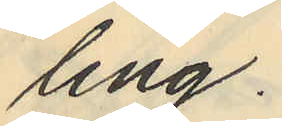ling.
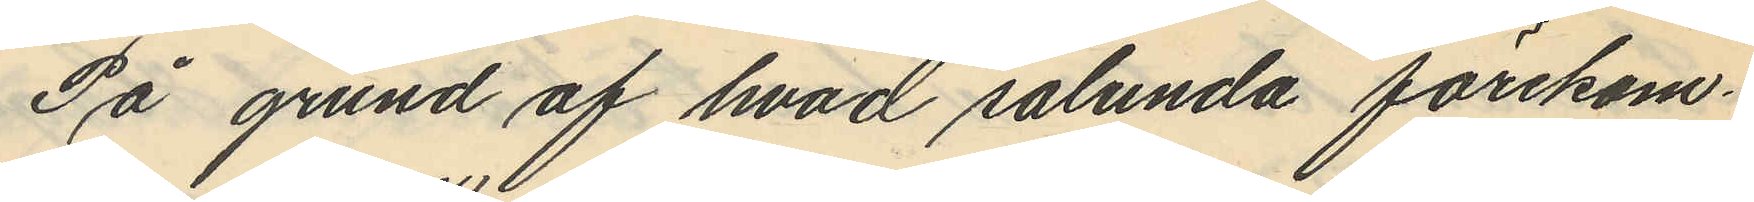På grund af hvad sålunda förekom¬
